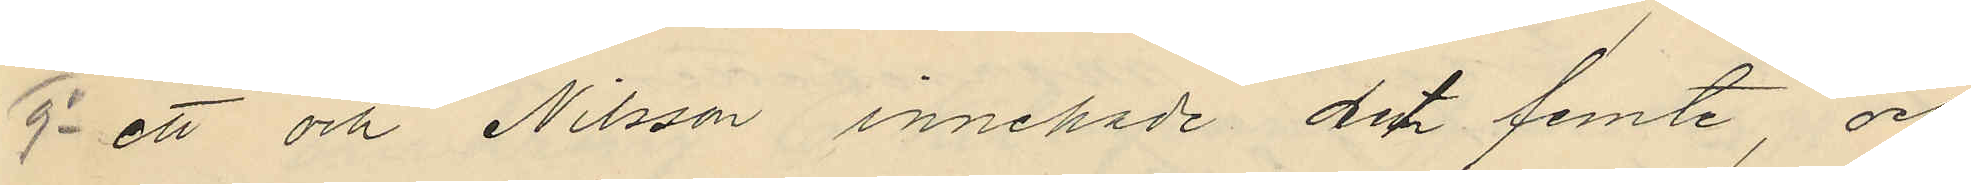9o ett och Nilsson innehade det femte och
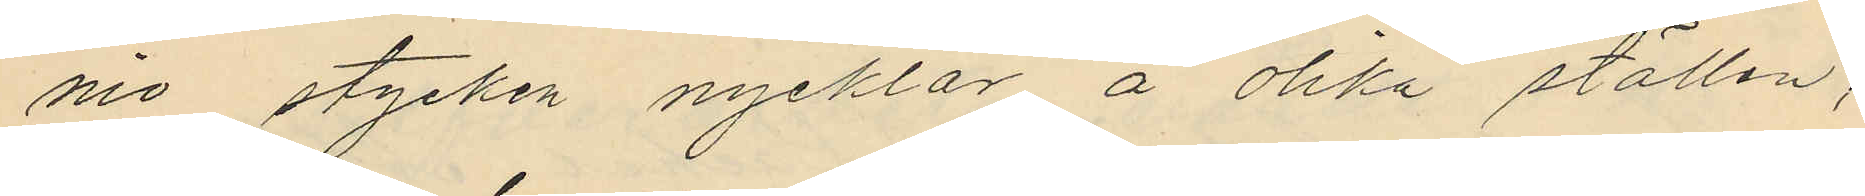nio stycken nycklar å olika ställen,
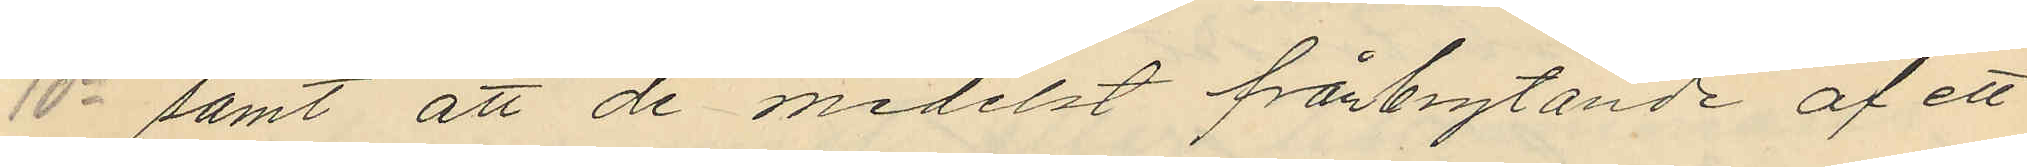10o samt att de medelst frånbrytande af ett
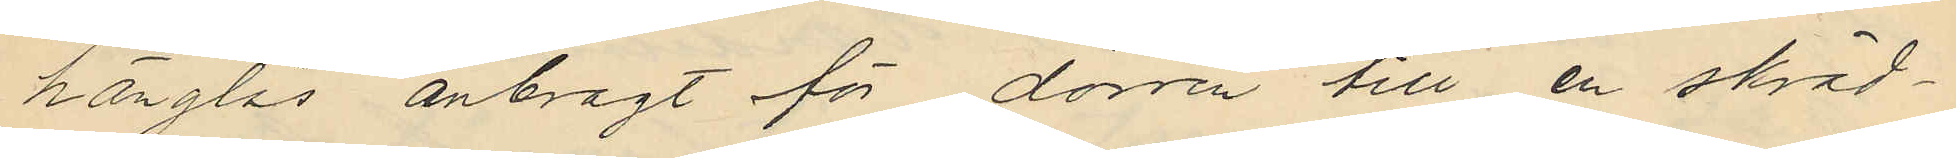hänglås anbragt för dörren till en skräd¬
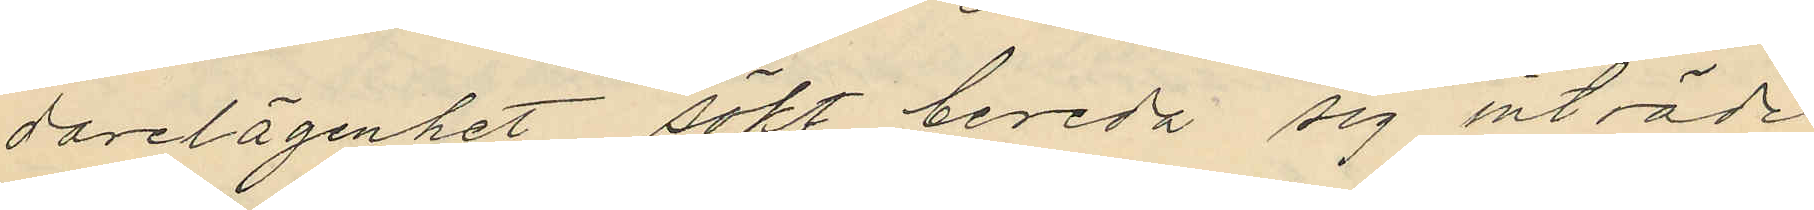darelägenhet sökt bereda sig inträde
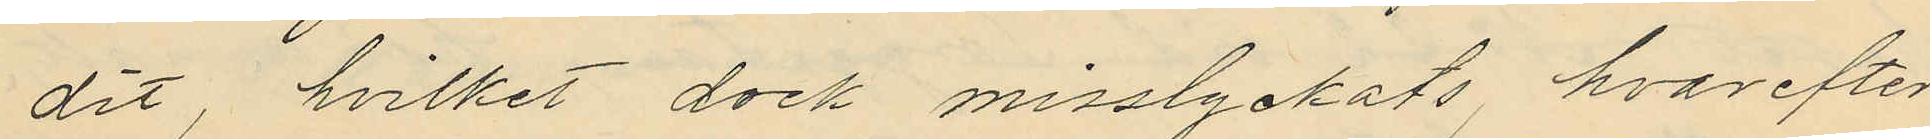dit, hvilket dock misslyckats, hvarefter
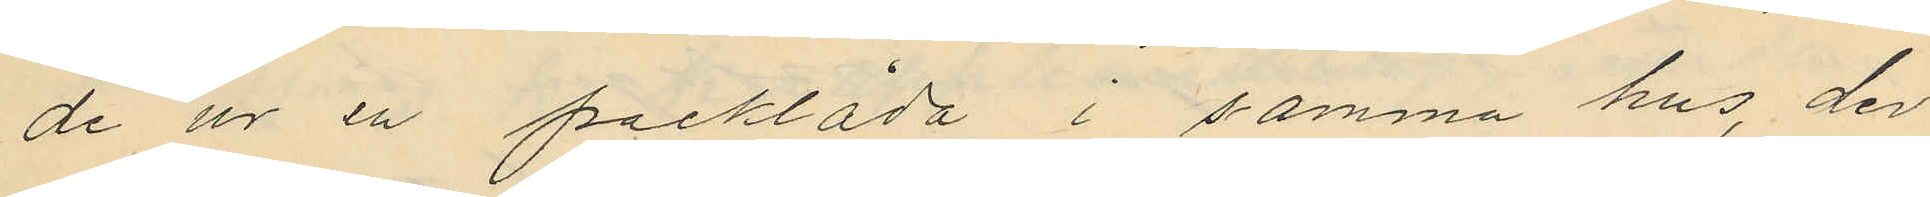de ur en packlåda i samma hus, der
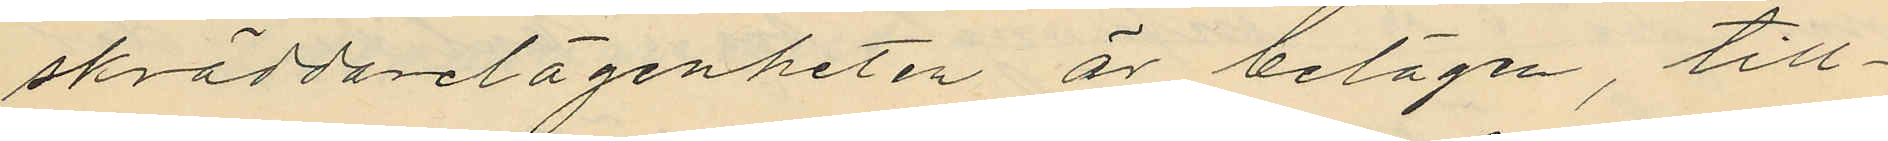skräddarelägenheten är belägen, till¬
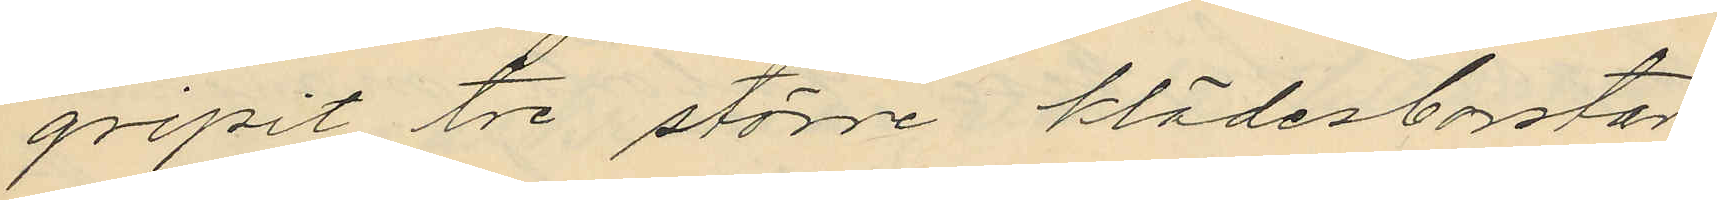gripit tre större klädesborstar
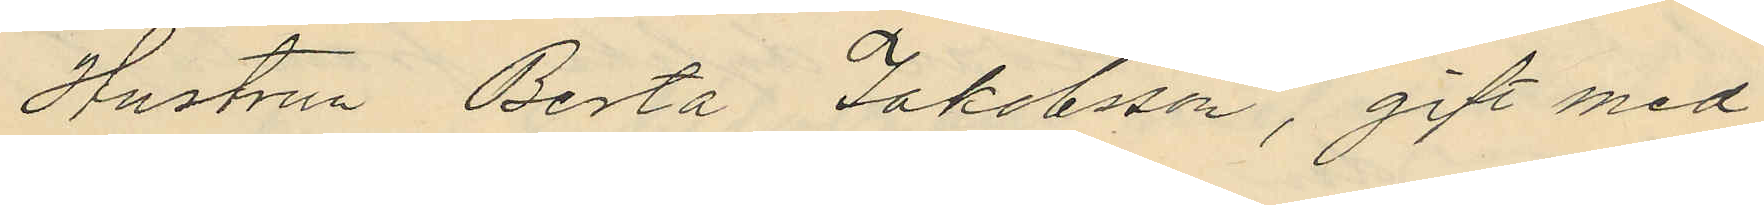Hustrun Berta Jakobsson, gift med
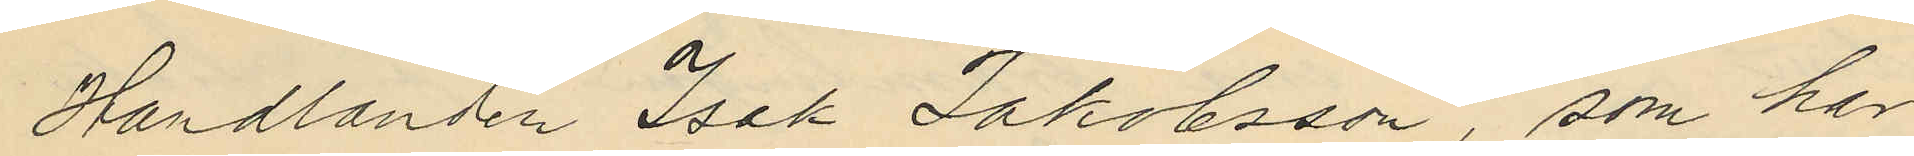Handlanden Isak Jakobsson, som har
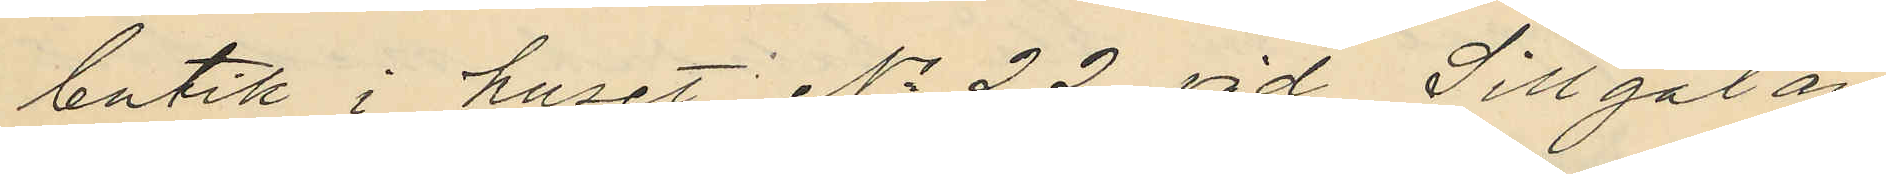butik i huset No 22 vid Sillgatan
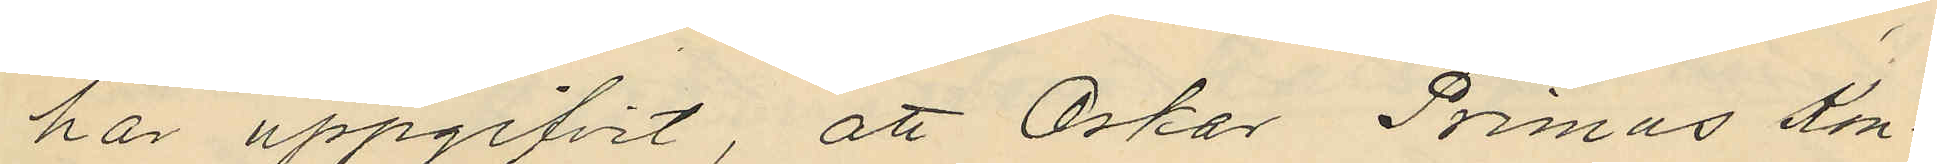har uppgifvit, att Oskar Primus Kon¬
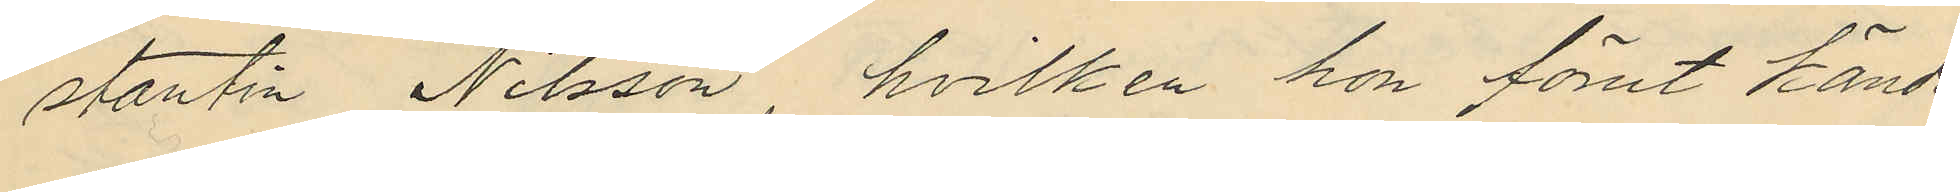stantin Nilsson, hvilken hon förut kände
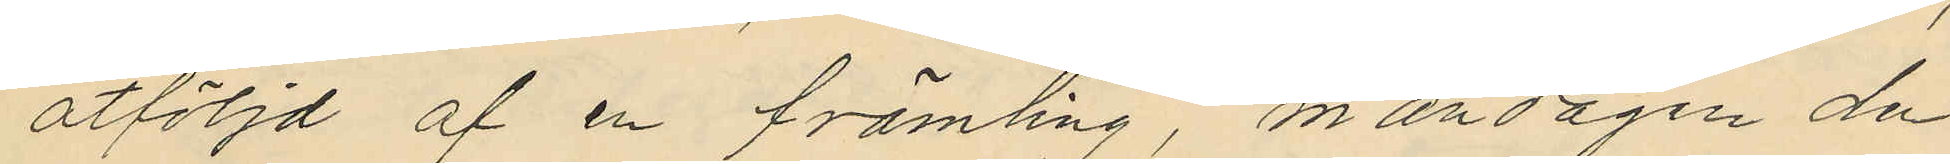åtföljd af en främling måndagen den
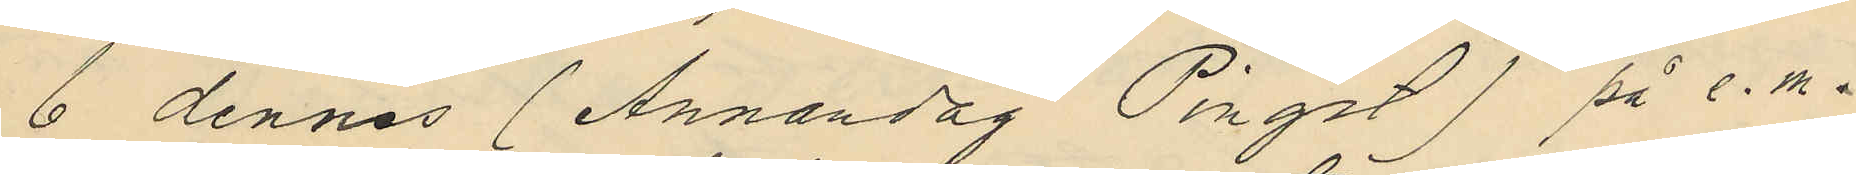6 dennes  (Annandag Pingst) på e.m.
